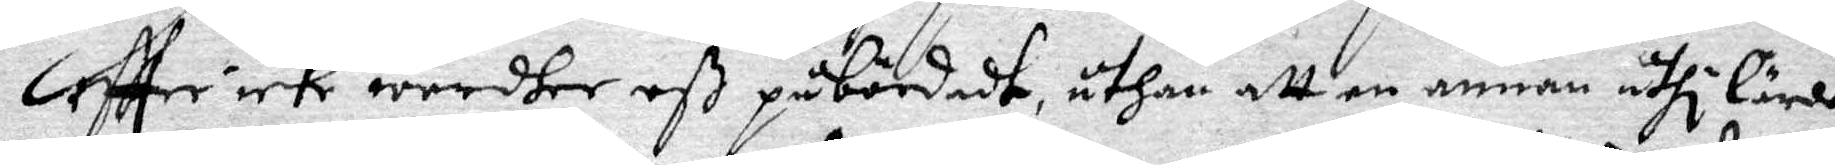eftter icke wordher oß påbördadt, uthan att en annan uthi lärdom
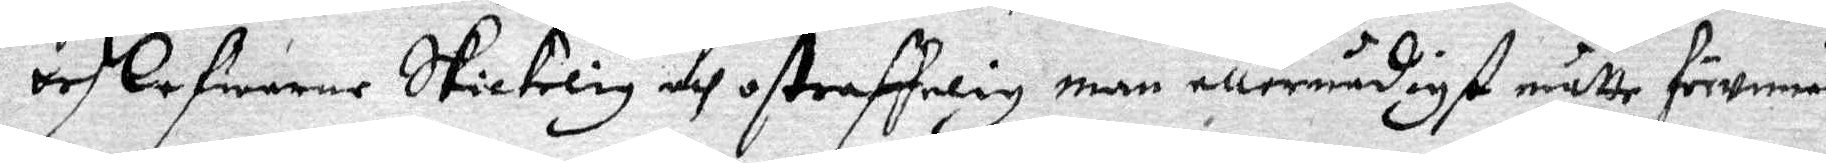och befwarne skickelig och ostraffelig man allernådigst måtte förwinna
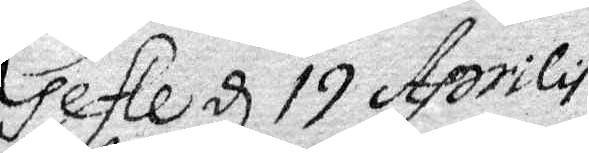Gefle d 19 Aprilis
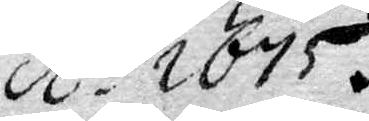A:o 1675.
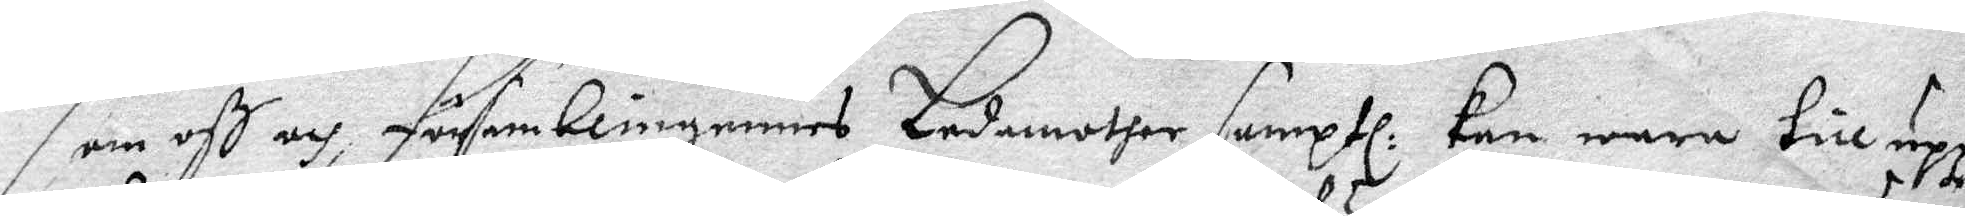som oß och församblingernes Ledamother samptl: kan wara till upp¬
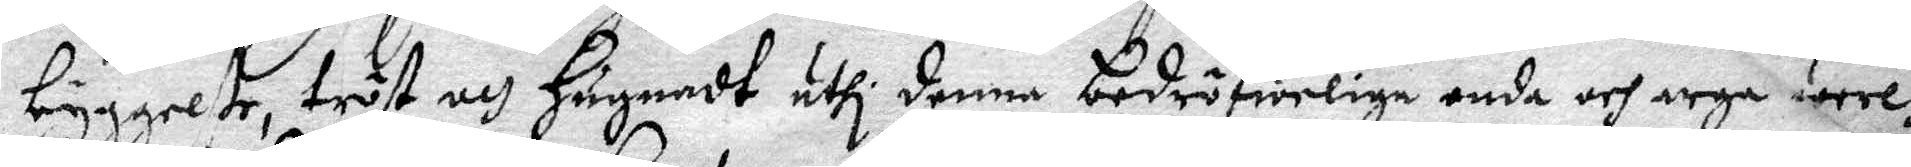byggelße, tröst och hugnadt uthi denna bedröfeliga onda och arga werl¬
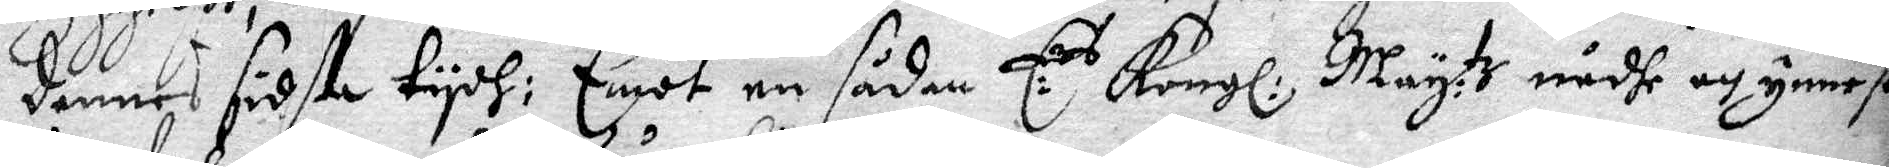dennes sidtsa tydh: Emot en sådan E:rs Kongl: May:tz nådhe och ynnest
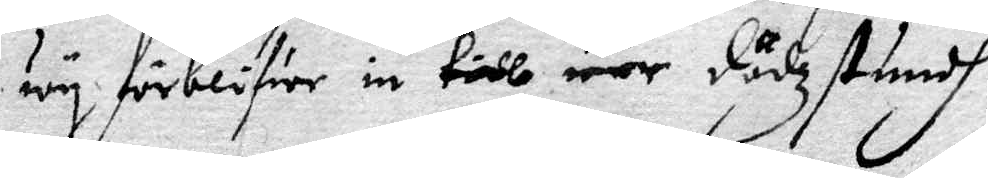wy förblifwer in till wår dödzstundh
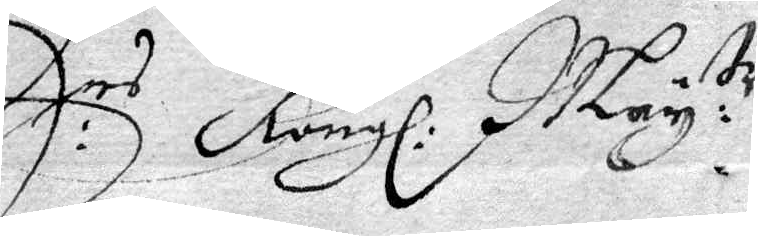E:rs Kongl: May:tr
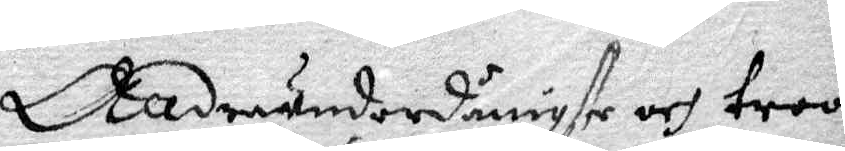Alldraundernånigste och troo¬
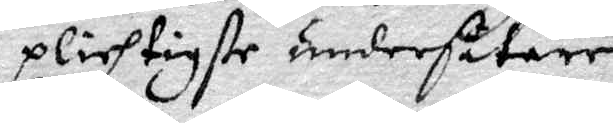plichtigste undersåtare
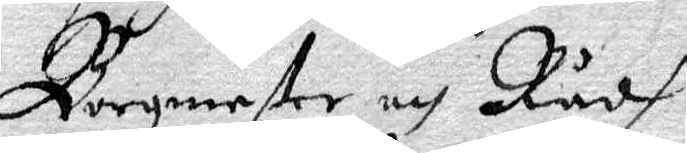Borgmester och Rådh
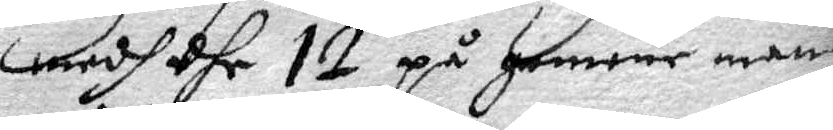medh dhe 12 på gemene mans
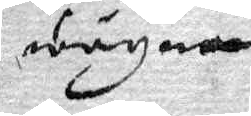wägnar
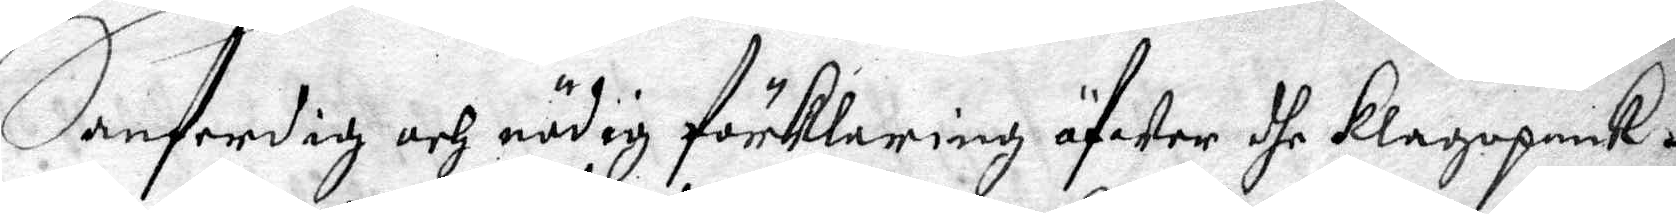Sanferdig och nödig förklaring öfwer dhe Klagopunk¬
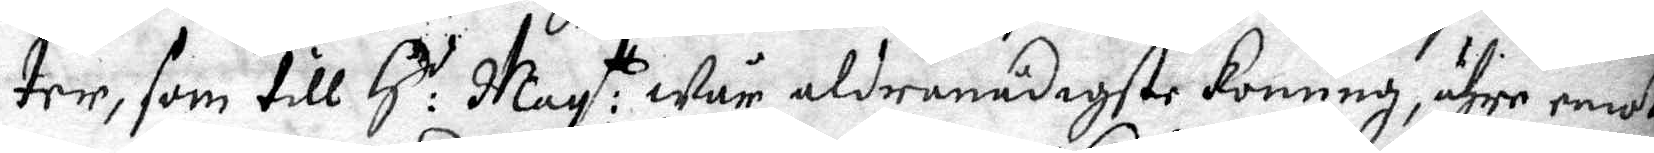ter, som till H:r May:tt Wår aldranådigste Konung, ähre emoth
